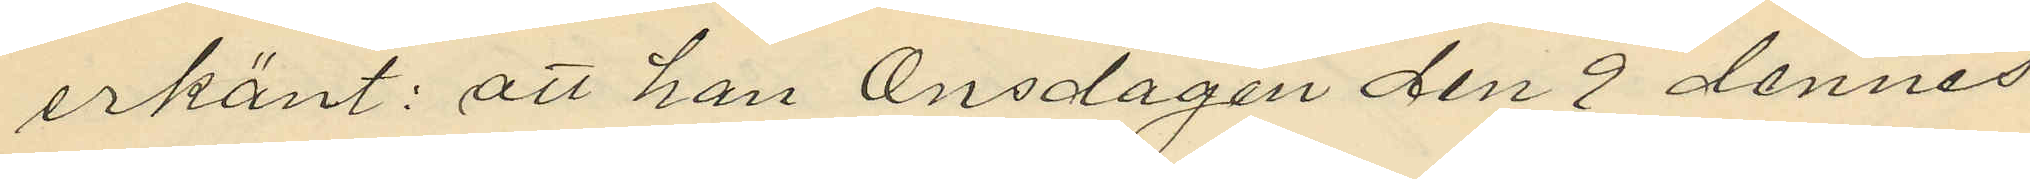erkänt: att han Onsdagen den 9 dennes
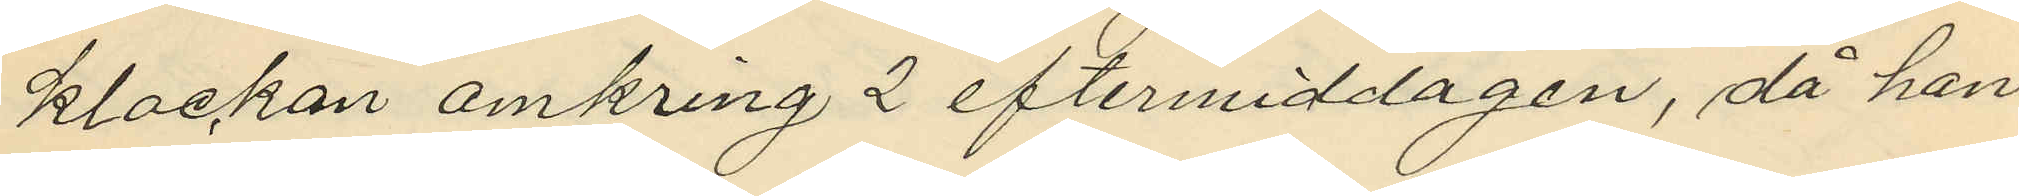klockan omkring 2 eftermiddagen, då han
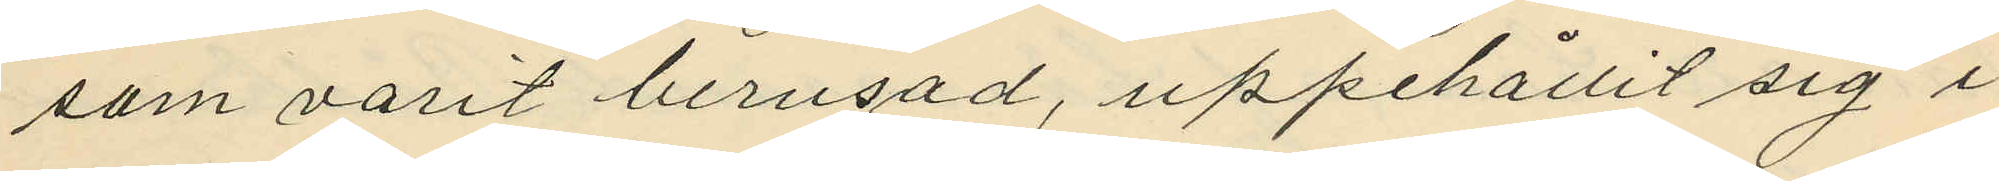som varit berusad, uppehållit sig i
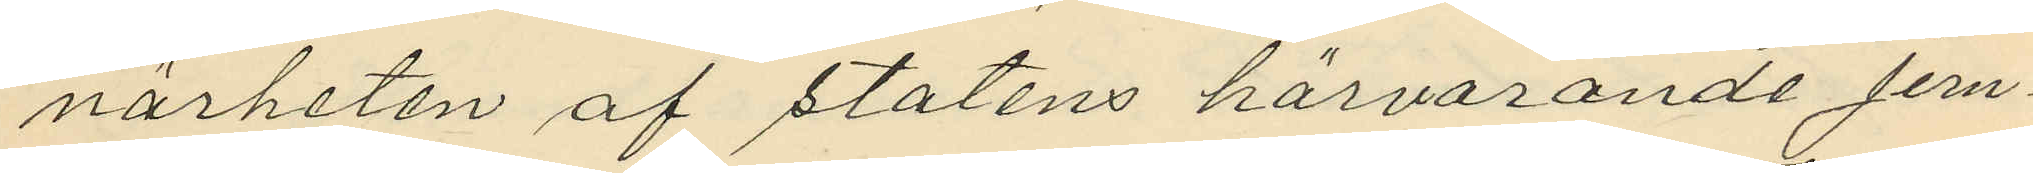närheten af statens härvarande jern¬
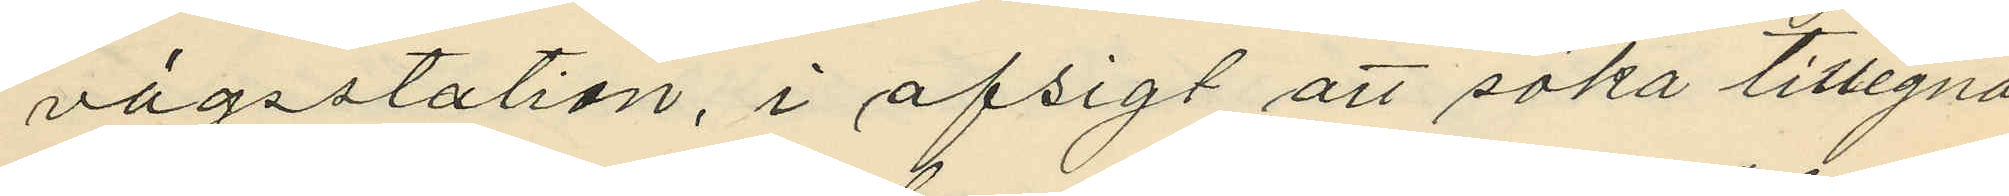vägsstation, i afsigt att söka tillegna
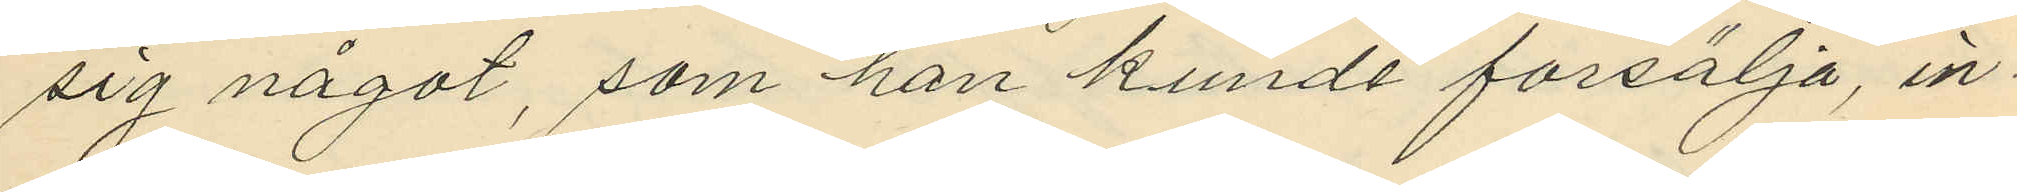sig något, som han kunde forsälja, in¬
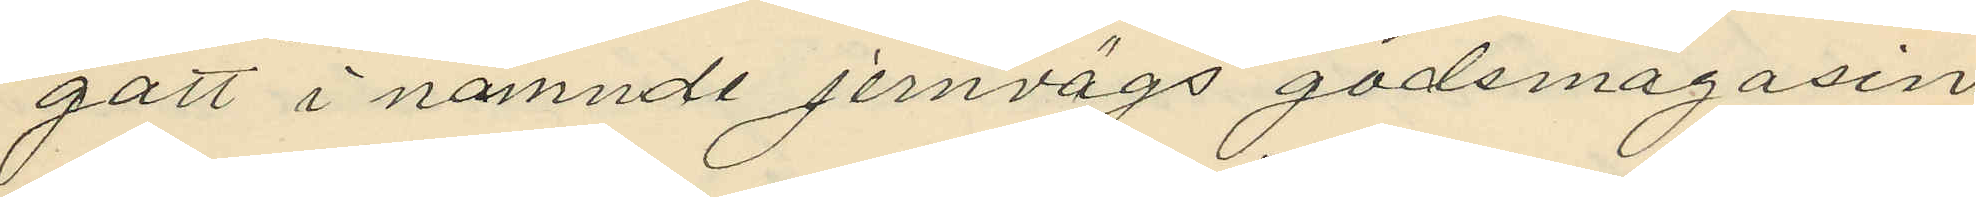gått i nämnde jernvägs godsmagasin,
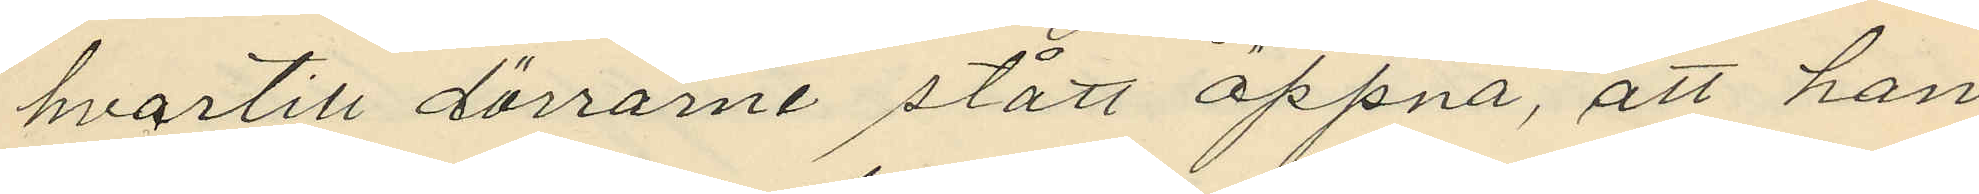hvartill dörrarne stått öppna, att han
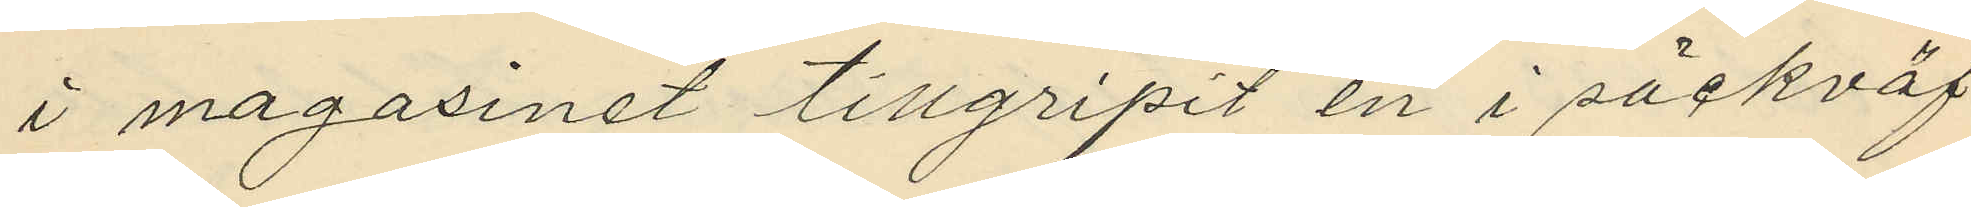i magasinet tillgripit en i säckväf
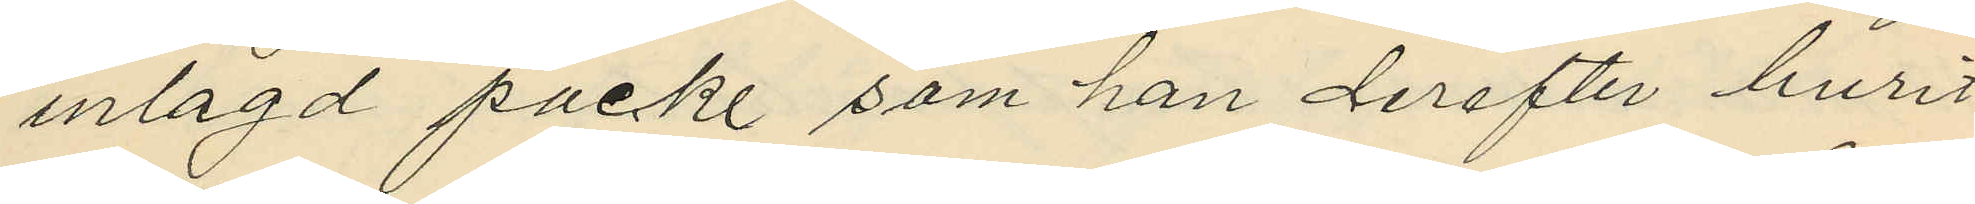inlagd packe som han derefter burit
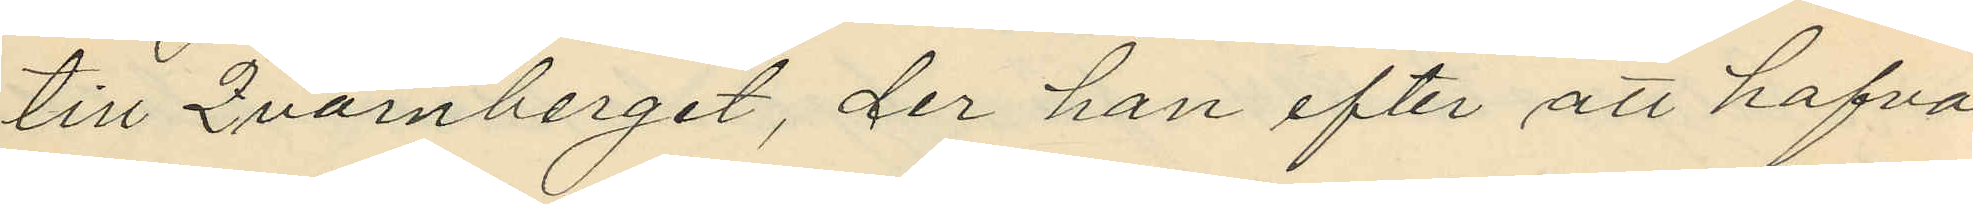till Qvarnberget, der han efter att hafva
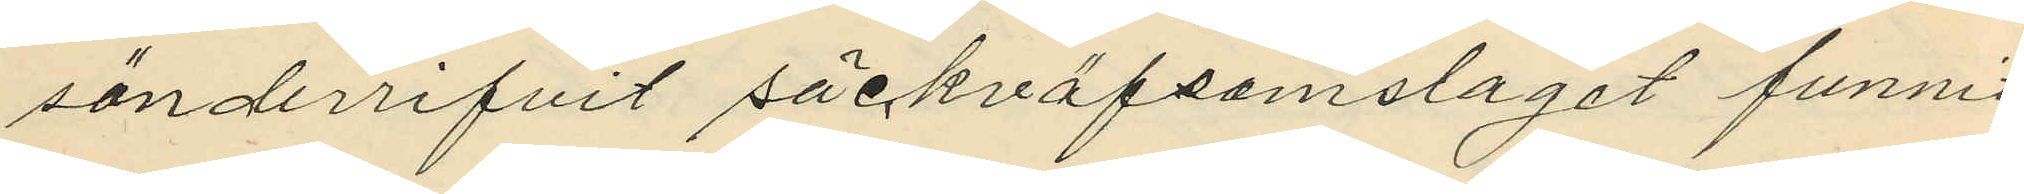sönderrifvit säckväfsomslaget funnit
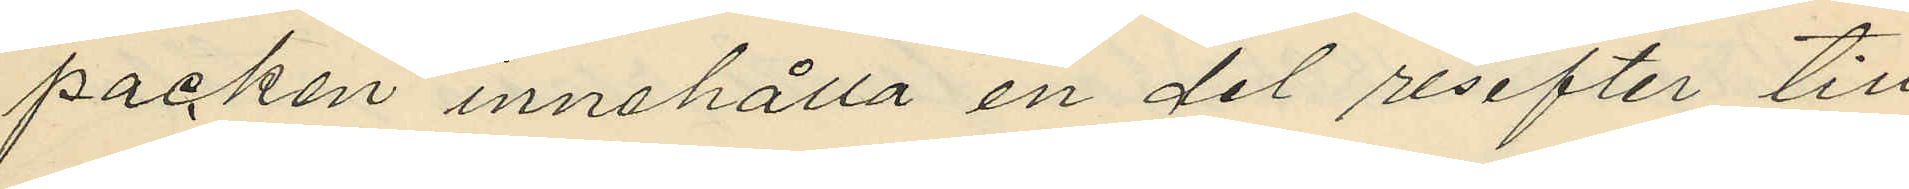packen innehålla en del resefter till
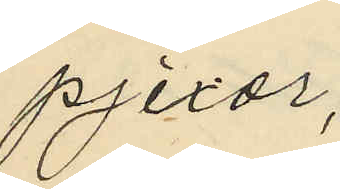pjexor;
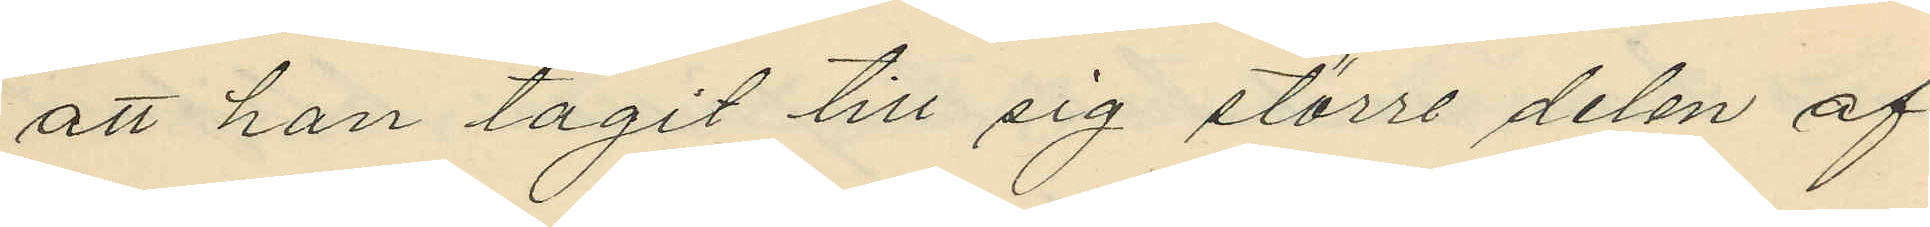att han tagit till sig större delen af
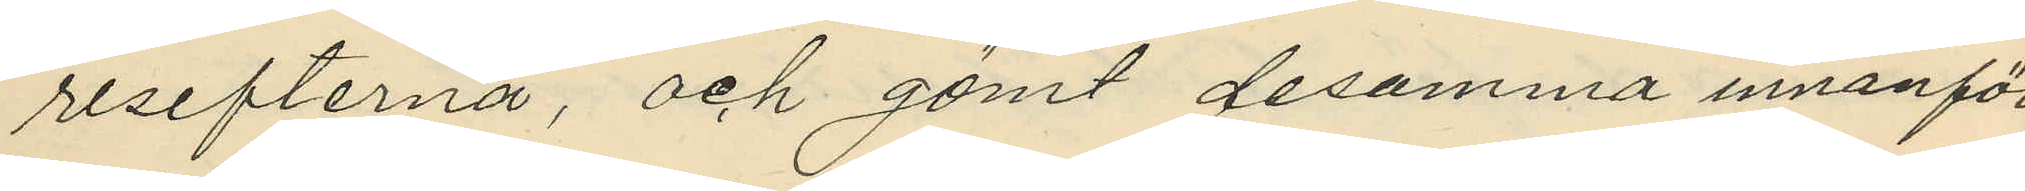resefterna, och gömt desamma innanför
